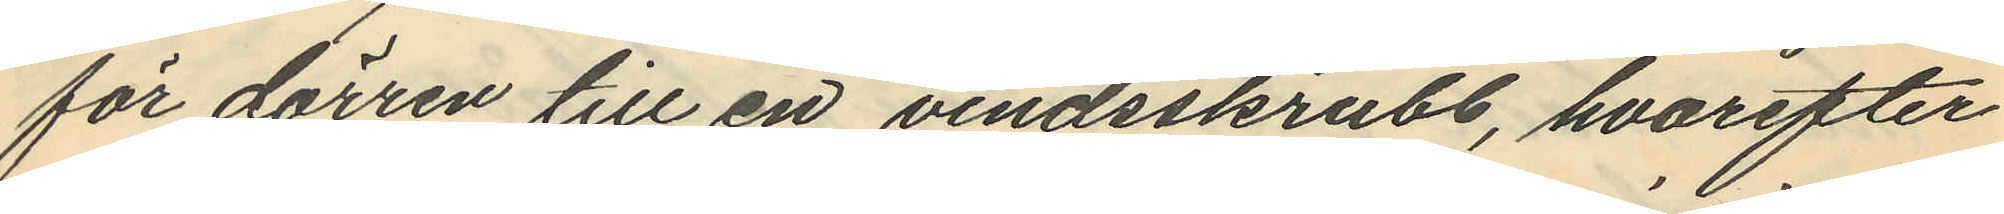för dörren till en vindsskrubb, hvarefter
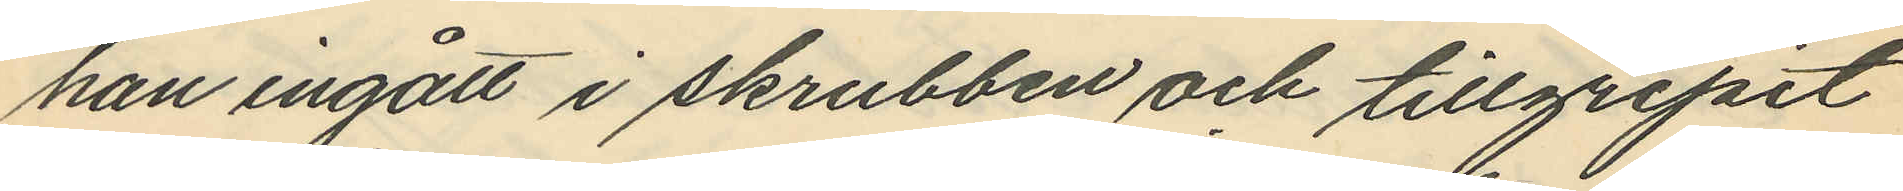han ingått i skrubben och tillgripit
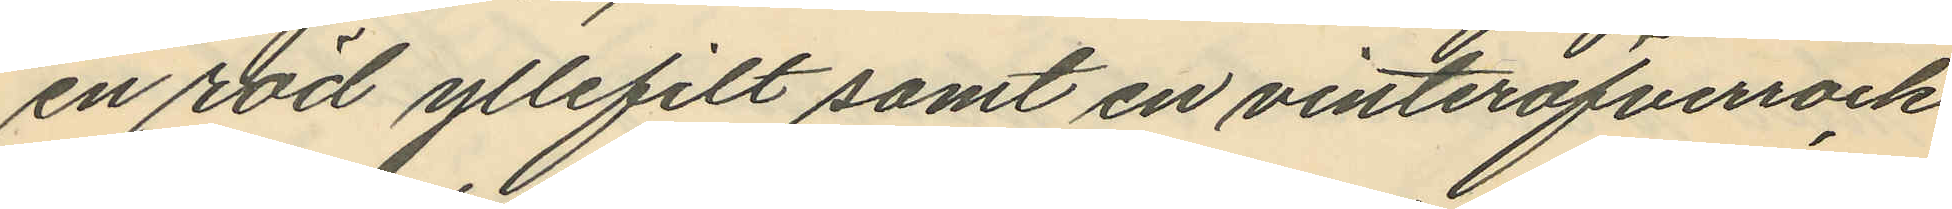en röd yllefilt samt en vinteröfverrock
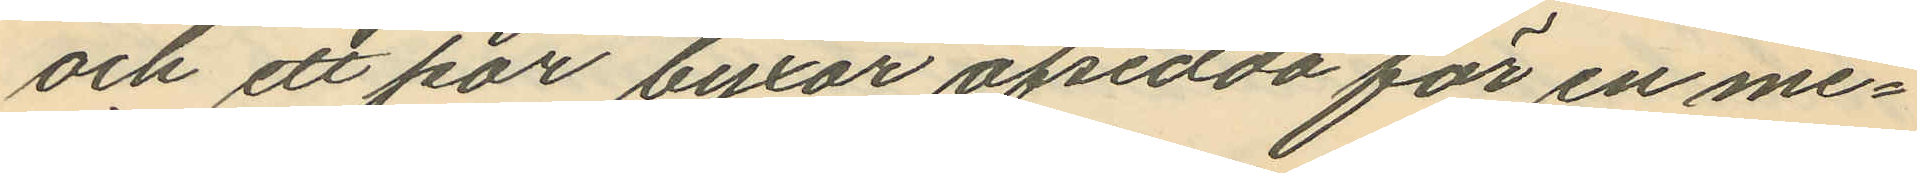och ett par byxor afsedda för en me¬
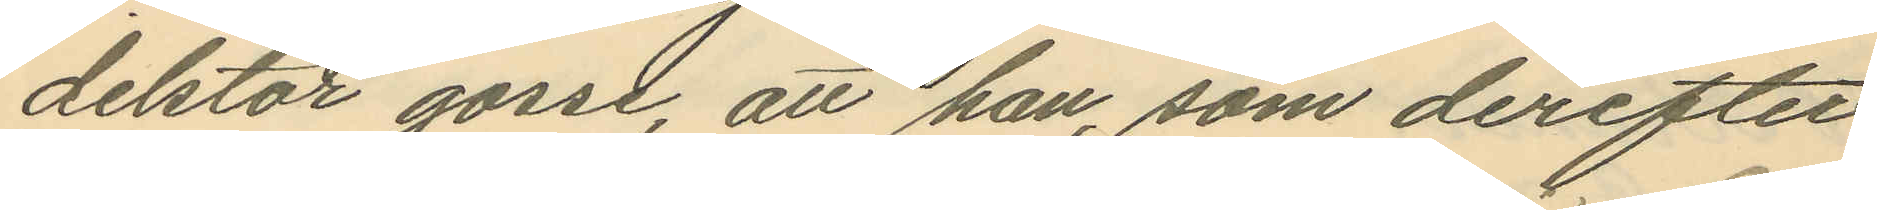delstor gosse, att han, som derefter
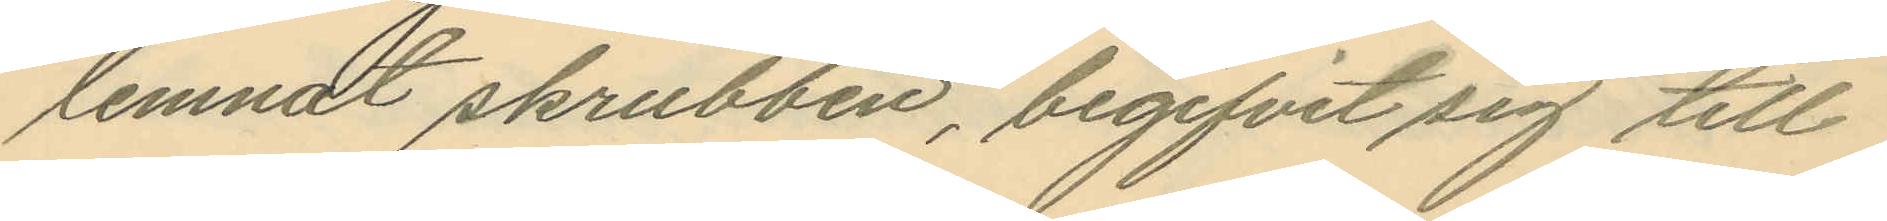lemnat skrubben, begifvit sig till
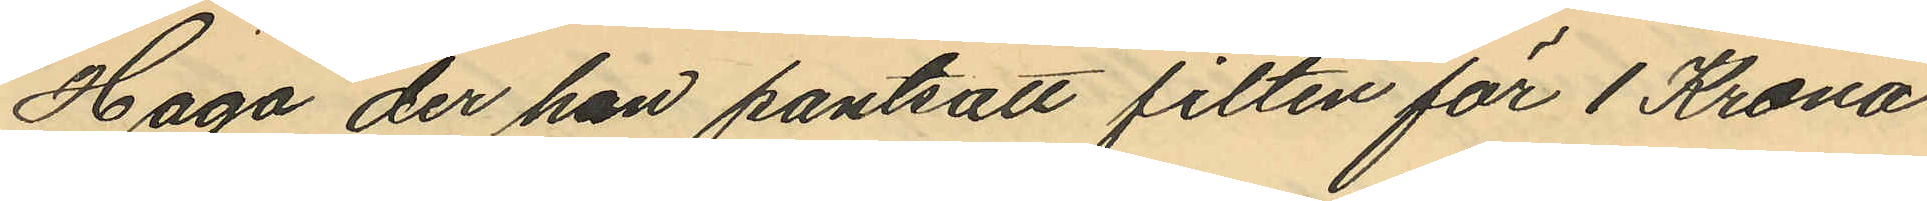Haga der han pantsatt filten för 1 Krona
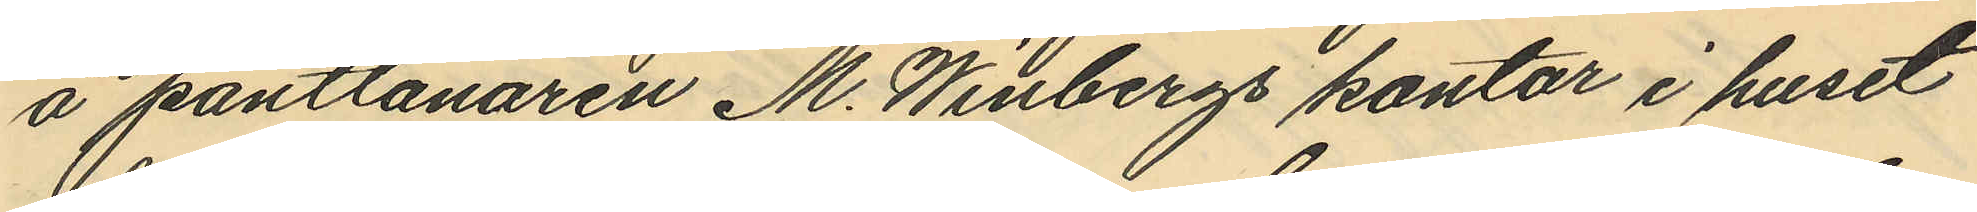å pantlånaren M. Winbergs kontor i huset
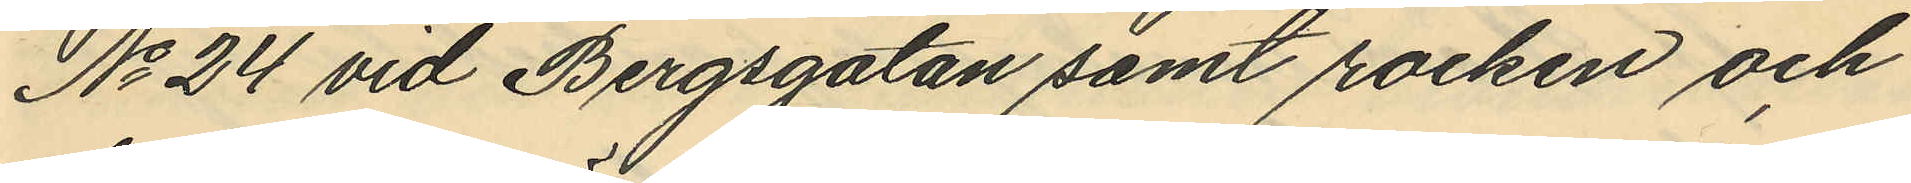No 24 vid Bergsgatan samt rocken och
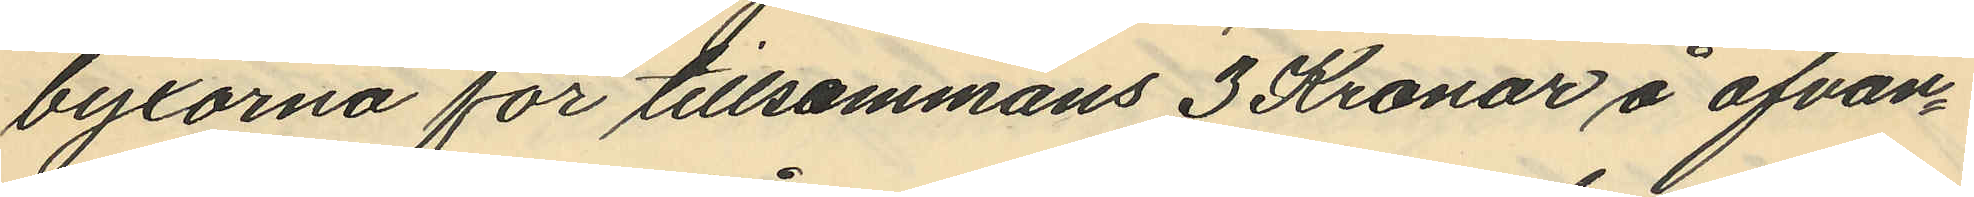byxorna för tillsammans 3 Kronor å ofvan¬
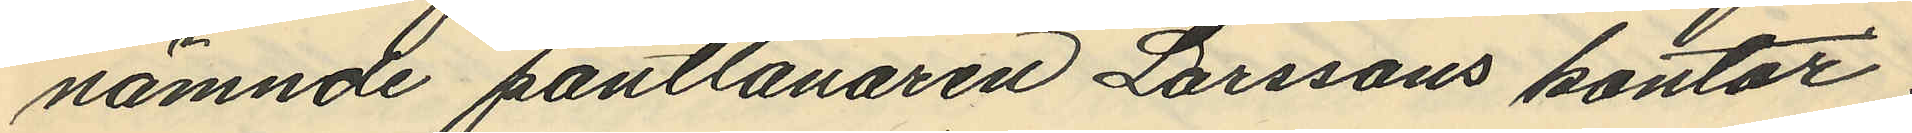nämnde pantlånaren Larssons kontor,
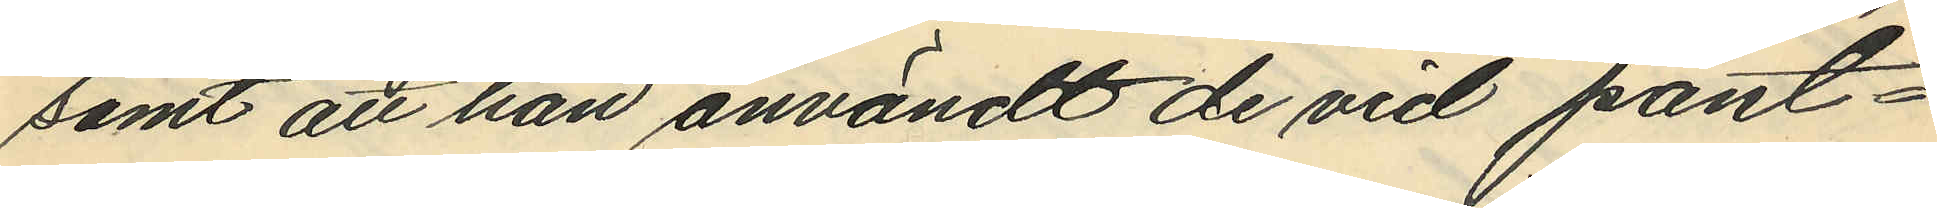samt att han användt de vid pant¬
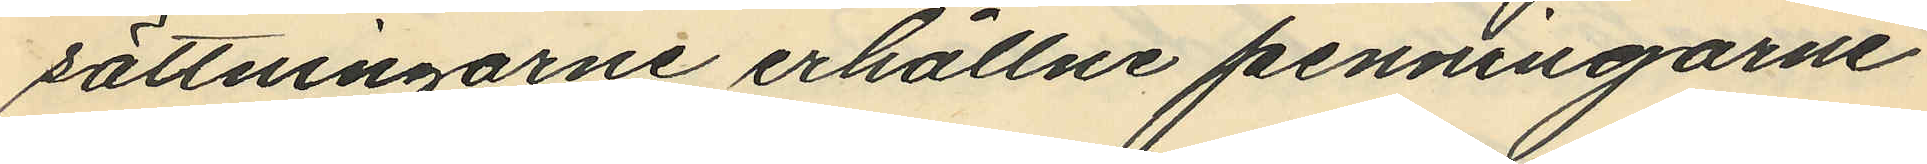sättningarne erhållne penningarne
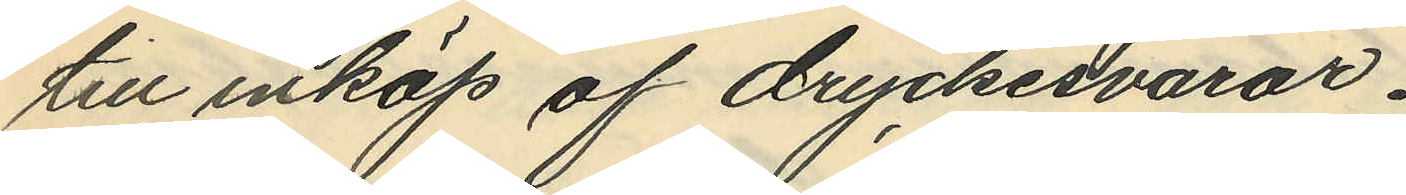till inköp af dryckesvaror.
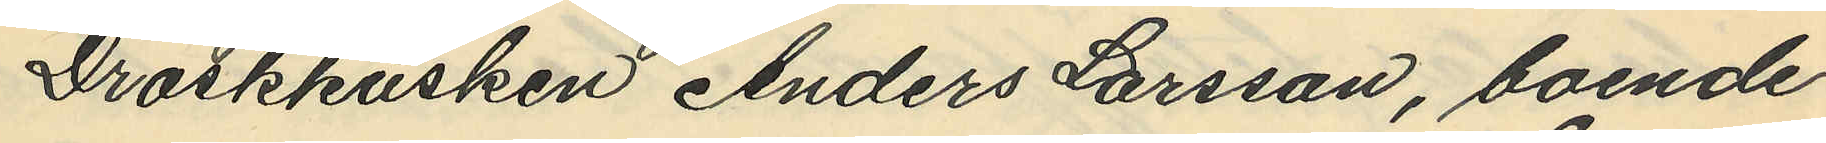Droskkusken Anders Larsson, boende
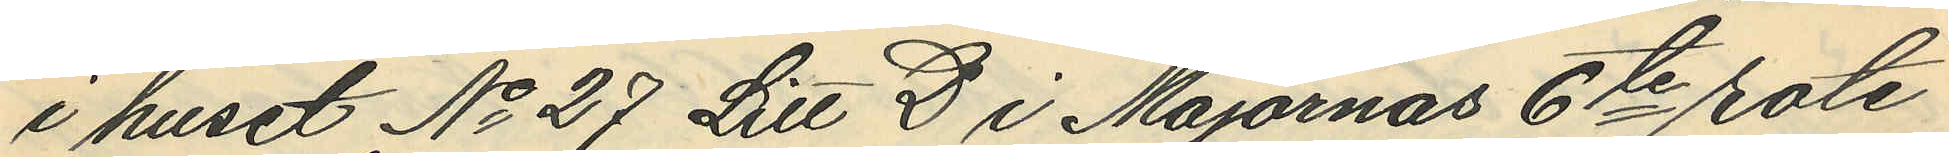i huset No 27 Litt D i Majornas 6te rote
